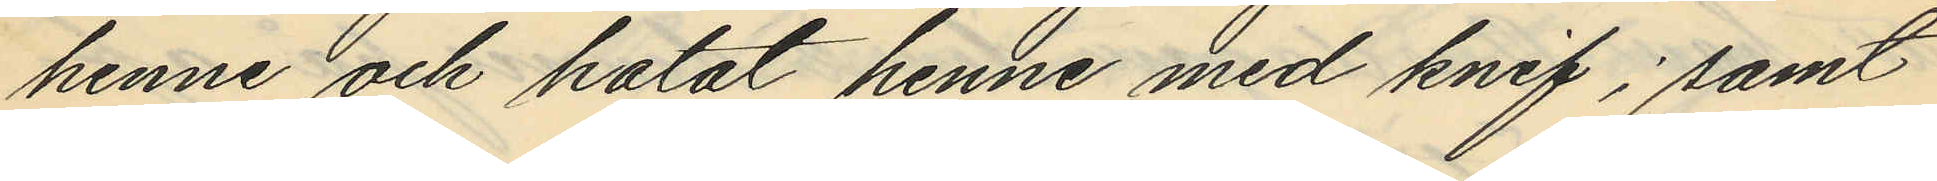henne och hotat henne med knif; samt
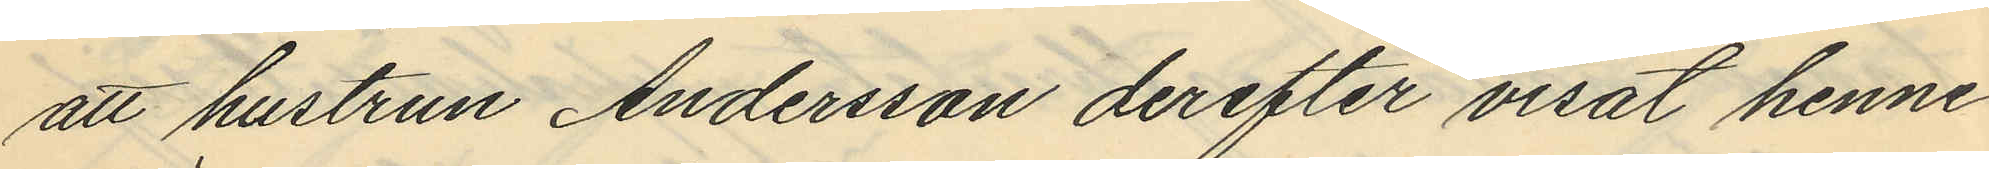att hustrun Andersson derefter visat henne
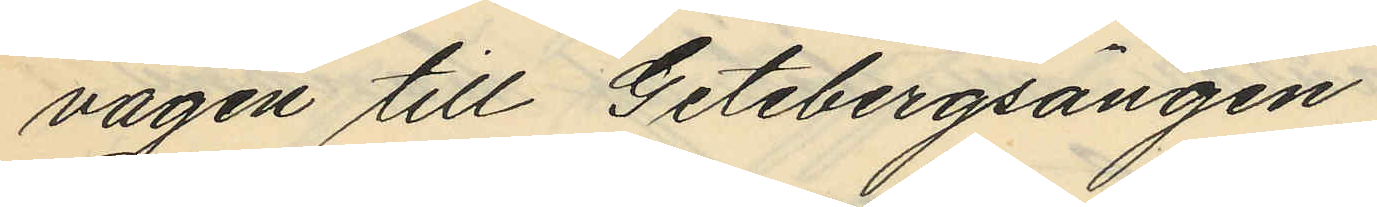vägen till Getebergsängen
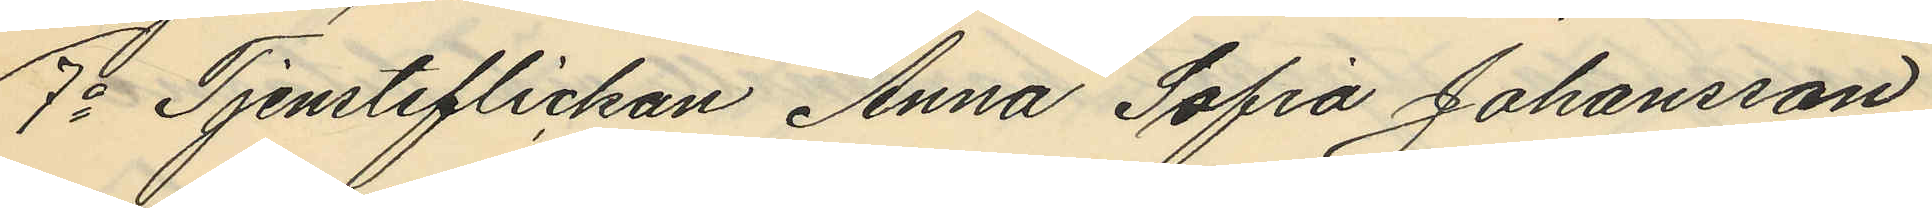7o Tjensteflickan Anna Sofia Johansson
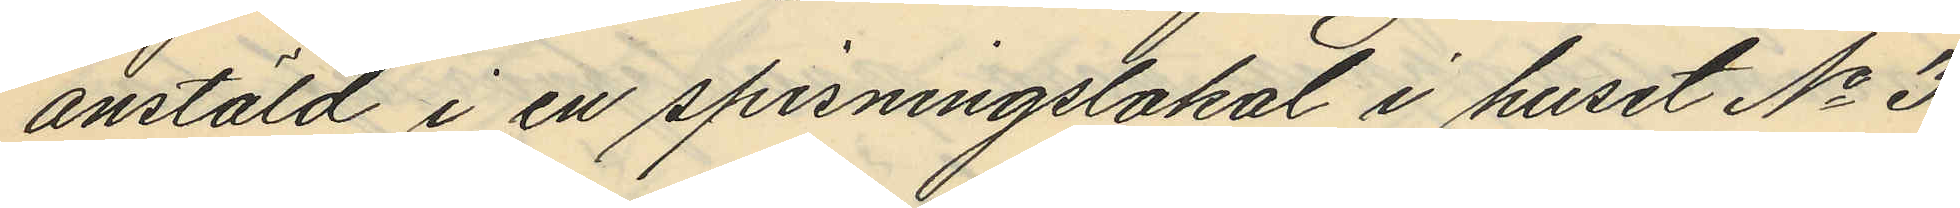anstäld i en spisningslokal i huset No 3
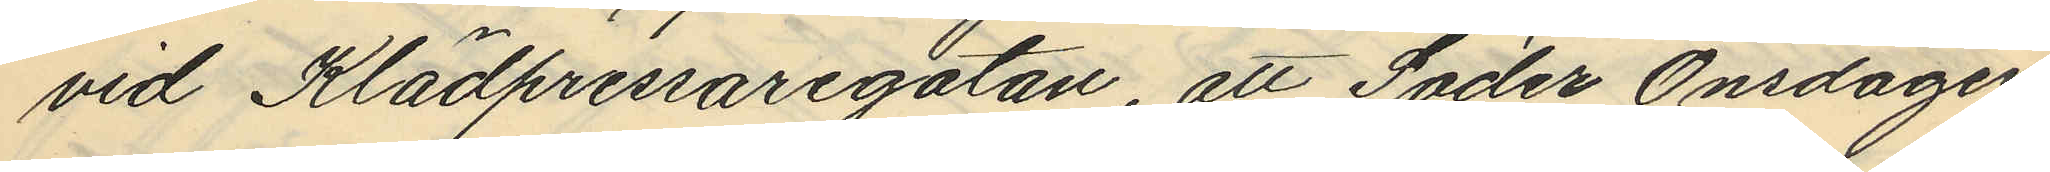vid Klädpressaregatan, att Söder Onsdagen
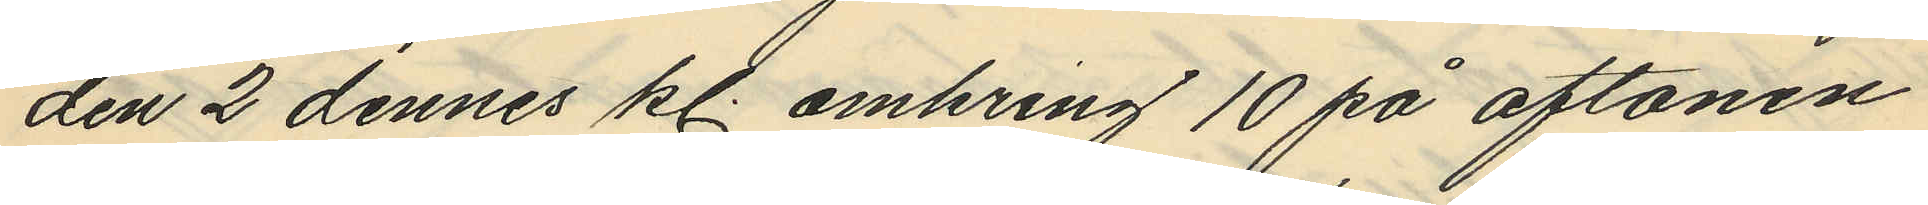den 2 dennes kl. omkring 10 på aftonen
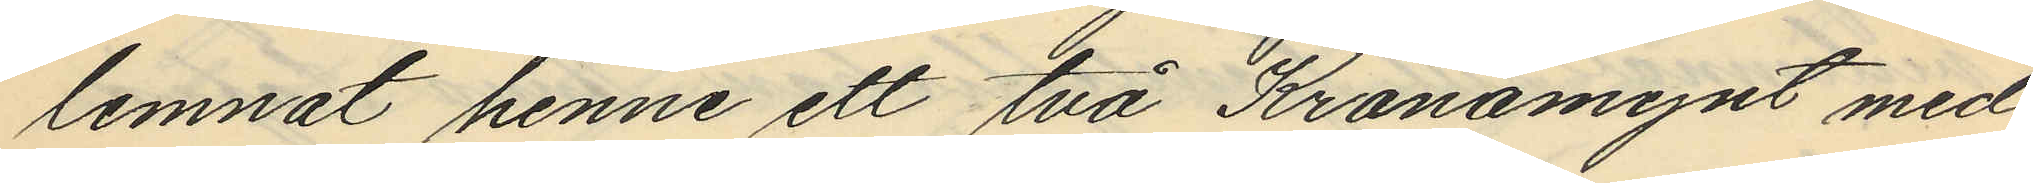lemnat henne ett två Kronomynt med
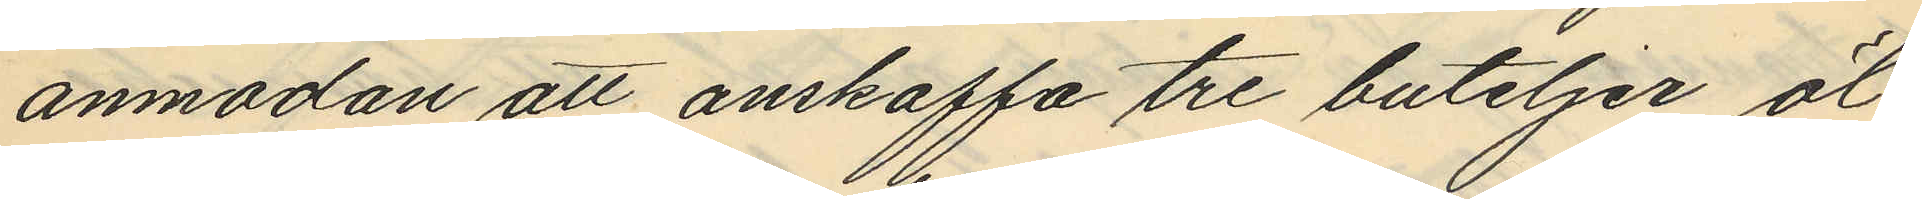anmodan att anskaffa tre buteljer öl
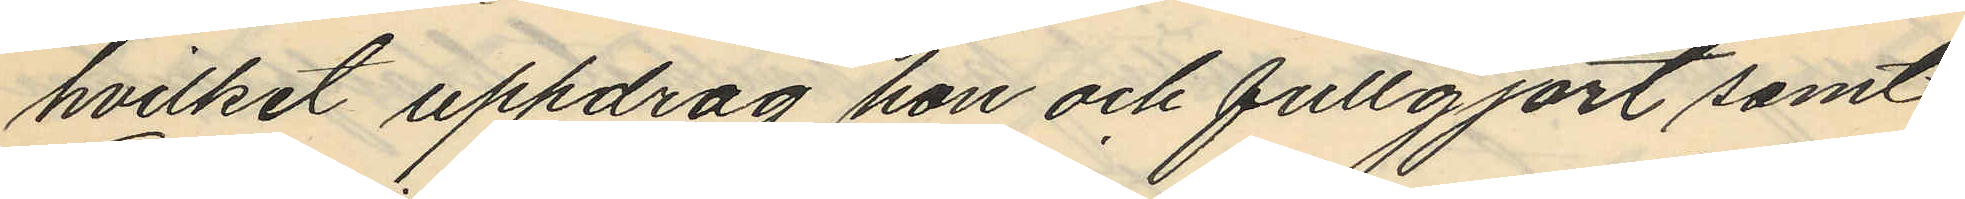hvilket uppdrag hon och fullgjort samt
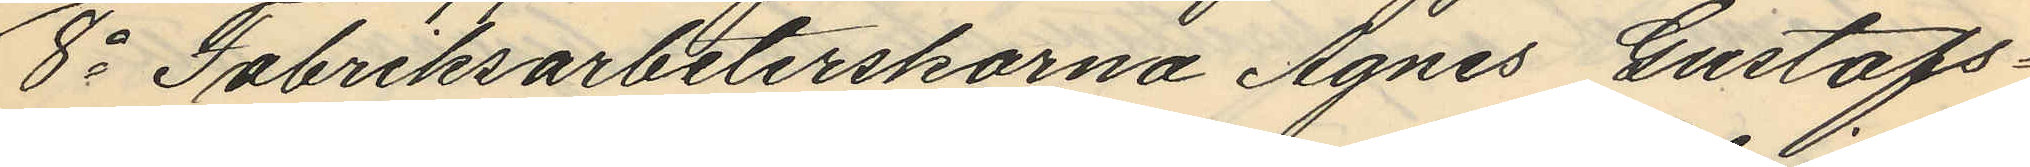8o Fabriksarbeterskorna Agnes Gustafs¬
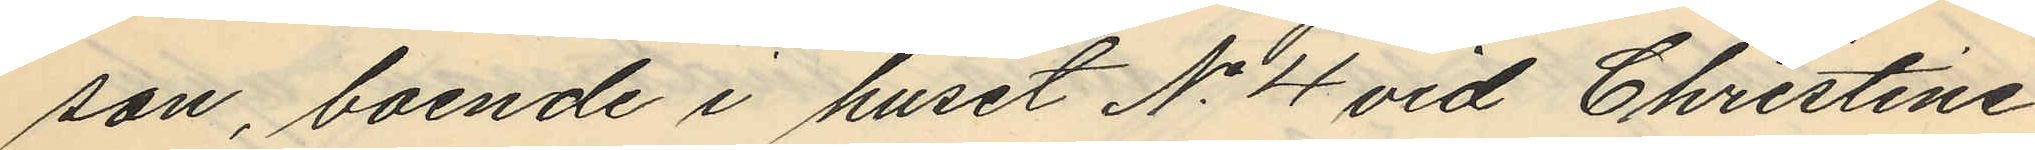son, boende i huset No 4 vid Christine
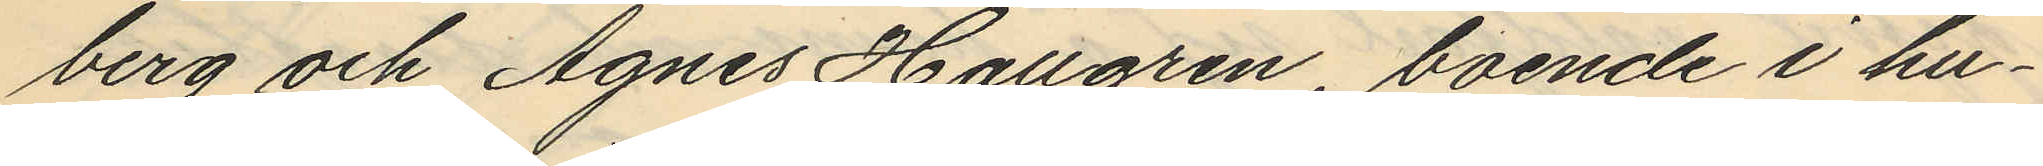berg och Agnes Hallgren, boende i hu¬
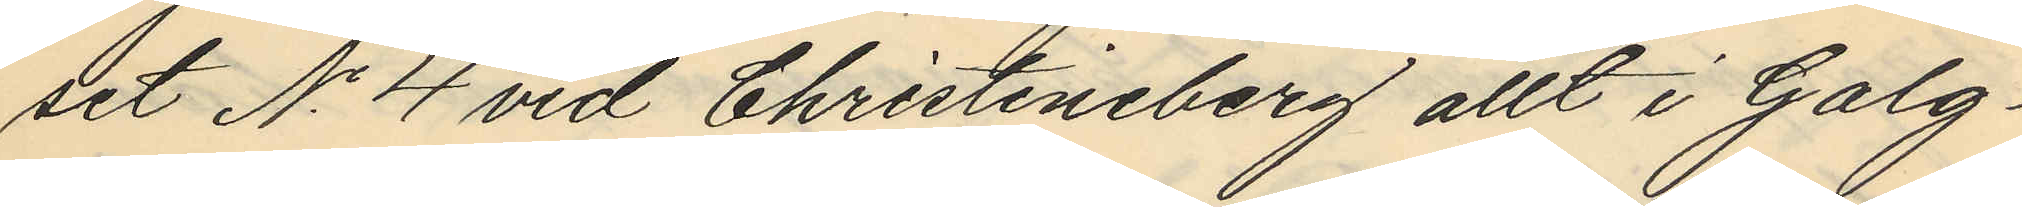set No 4 vid Christineberg allt i Galg¬
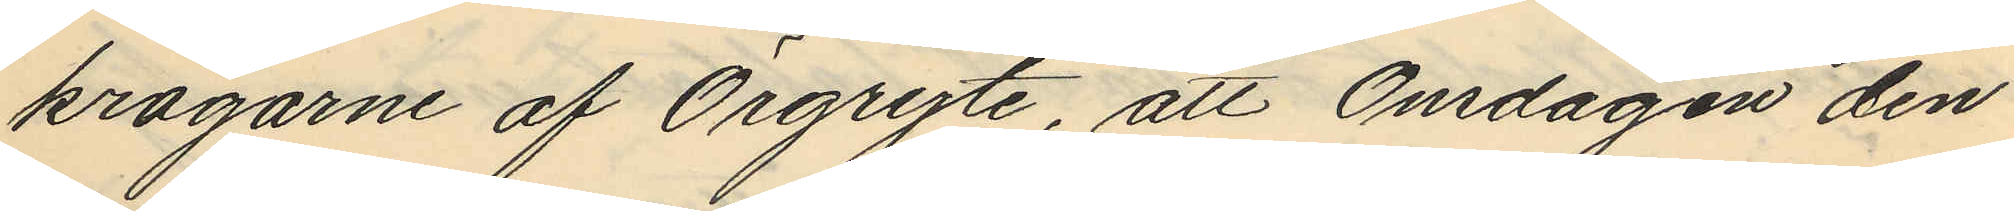krogarne af Örgryte, att Onsdagen den
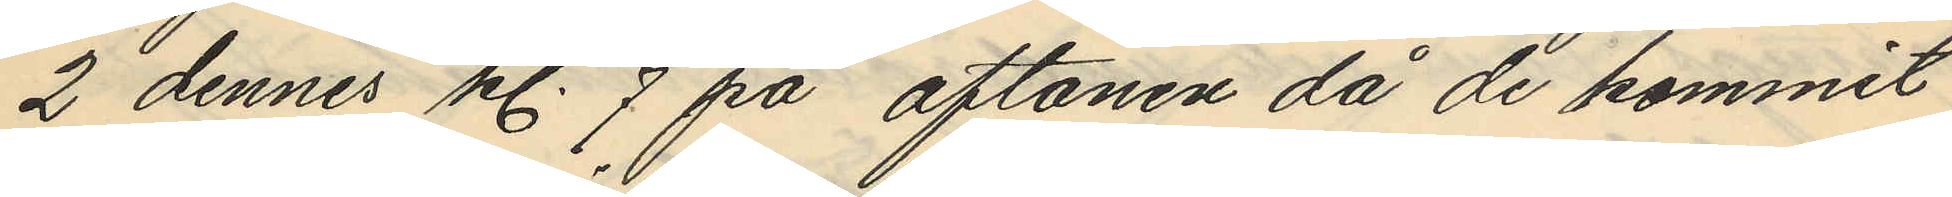2 dennes kl. 7 på aftonen då de kommit
